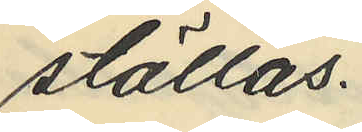ställas.
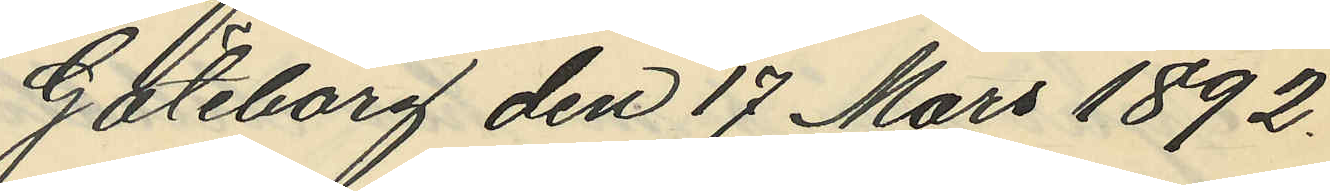Göteborg den 17 Mars 1892.
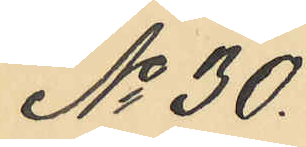No 30.
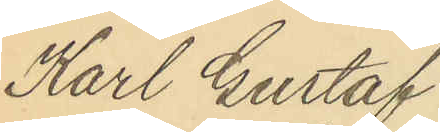Karl Gustaf
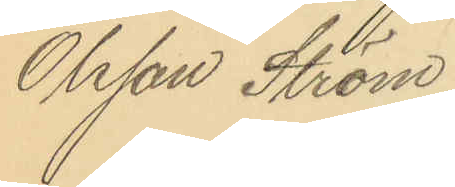Olsson Ström.
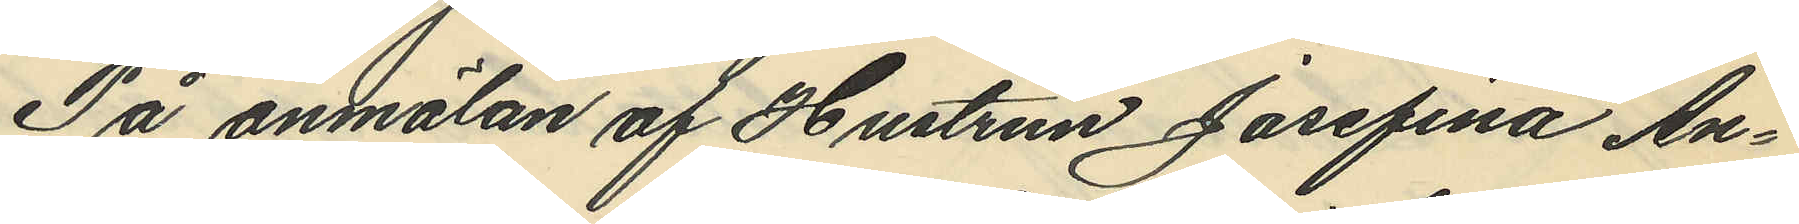På anmälan af Hustrun Josefina An¬
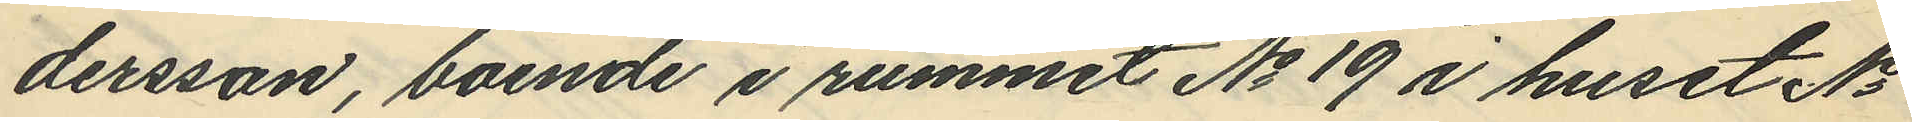dersson, boende i rummet No 19 i huset No
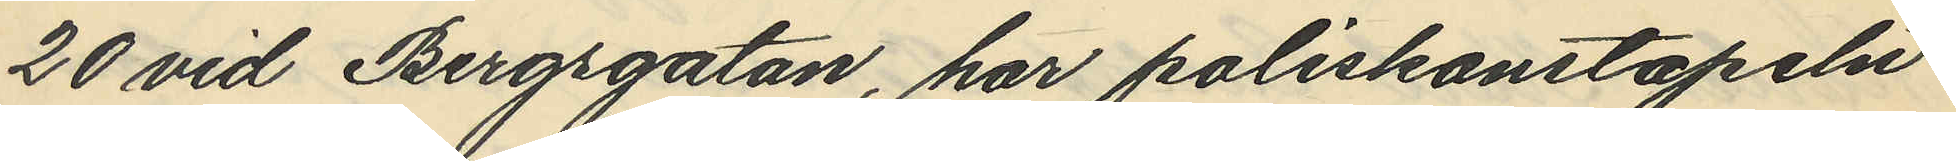20 vid Bergsgatan, har poliskonstapeln
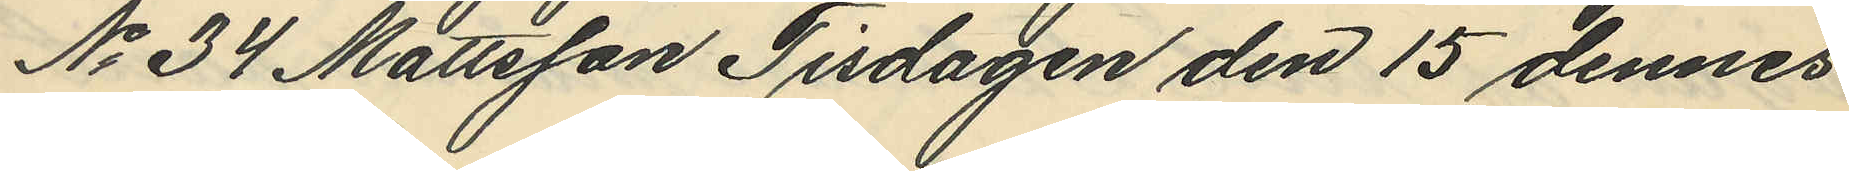No 34 Mattsson Tisdagen den 15 dennes
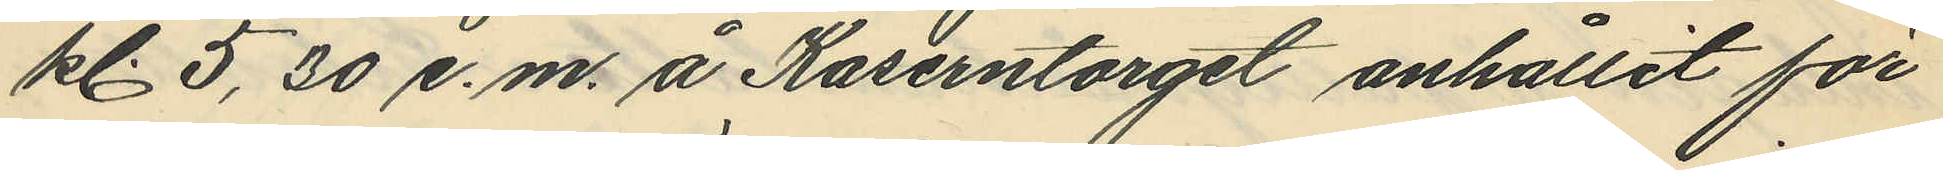kl. 5,30 e.m. å Kaserntorget anhållit för
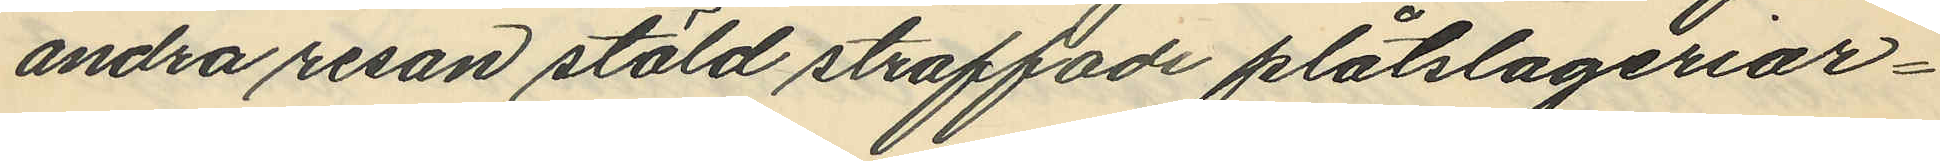andra resan stöld straffade plåtslageriar¬
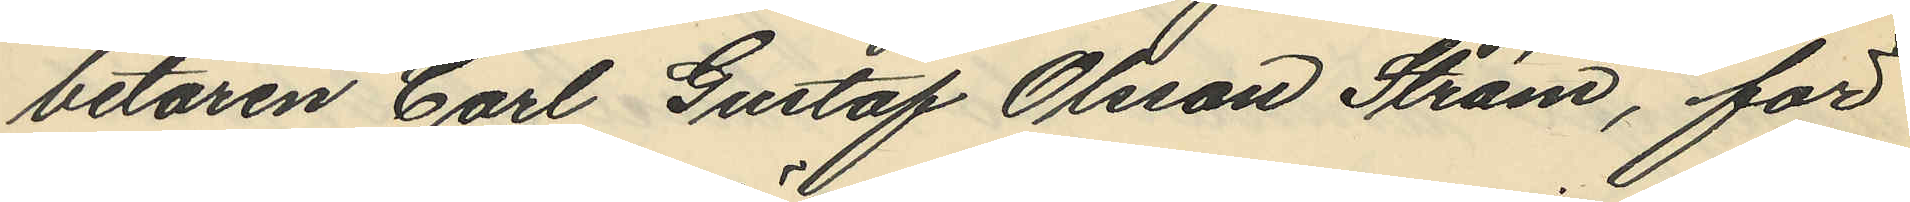betaren Carl Gustaf Olsson Ström, för
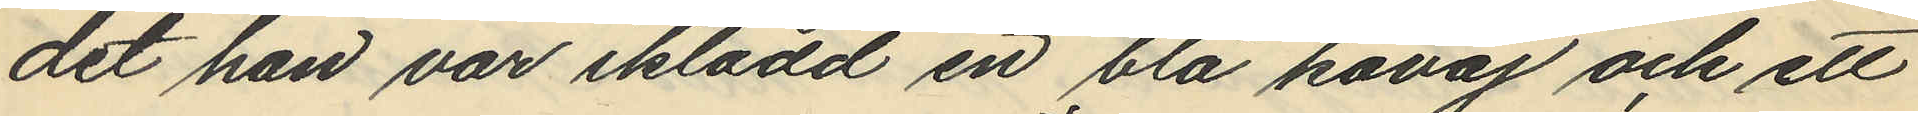det han var iklädd en blå kavaj och ett
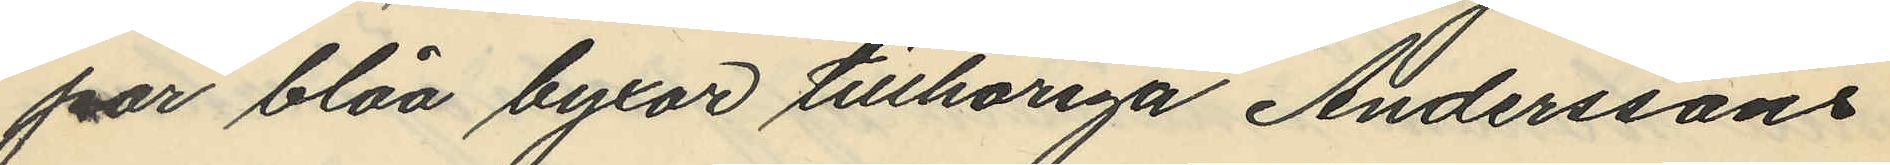par blåa byxor tillhöriga Anderssons
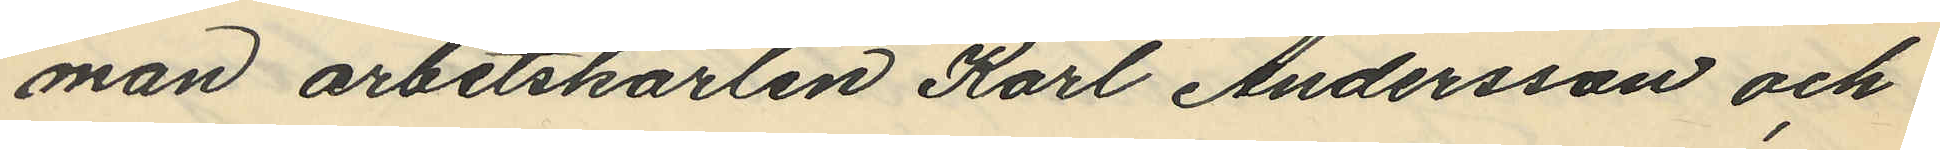man arbetskarlen Karl Andersson och
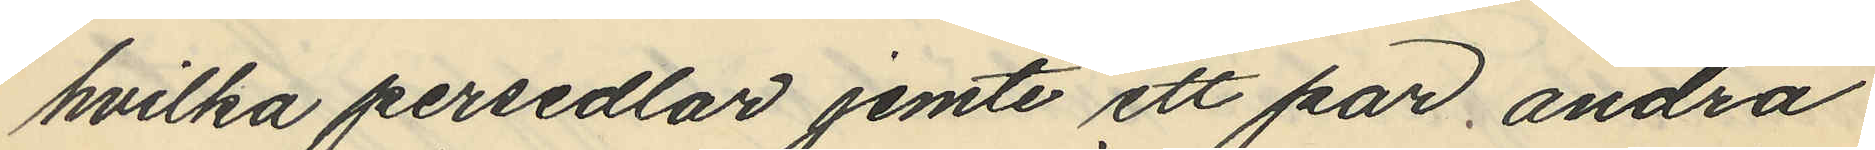hvilka persedlar jemte ett par andra
